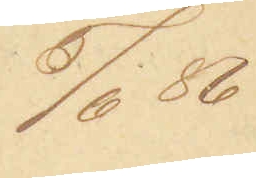5/6 86
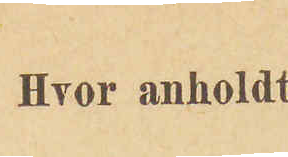Hvor anholdt
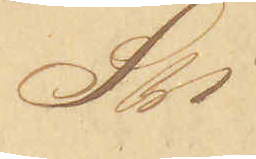Sti.
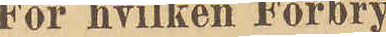For hvilken Forbry¬
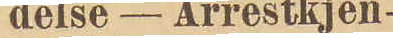delse - Arrestkjen¬
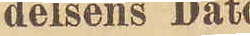delsens Dato
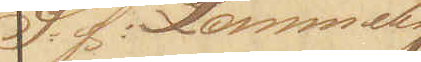S:f: Lommety¬
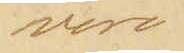veri.
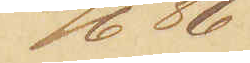6/6 86
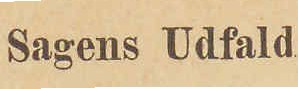Sagens Udfald
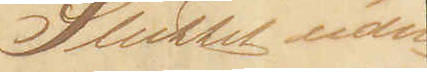Sluttet uden
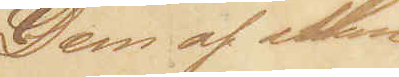Dom af Man¬
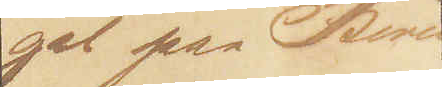gel paa Beviis
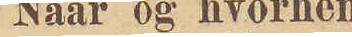Naar og hvorhen
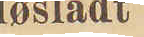løsladt
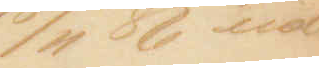18/11 86 ud¬
